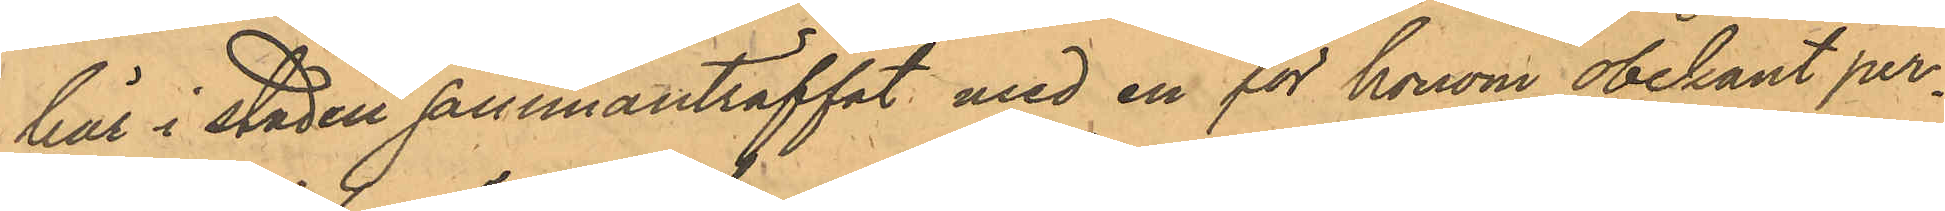här i staden sammanträffat med en för honom obekant per¬
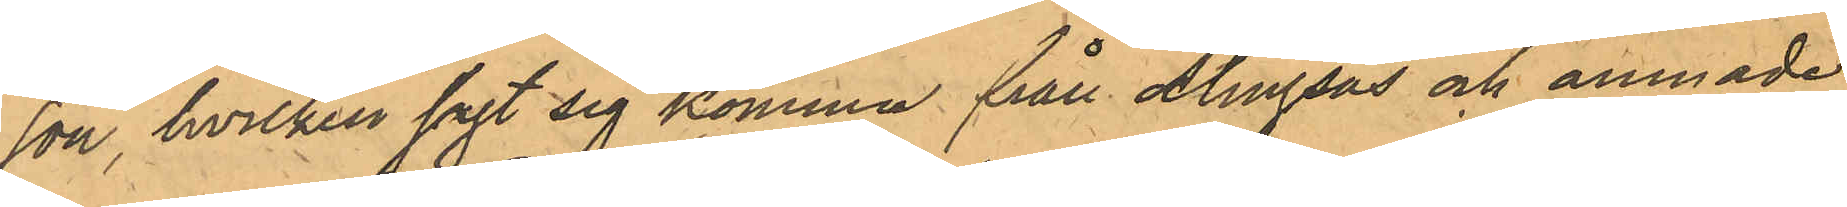son, hvilken sagt sig komma från Alingsås och ämnade
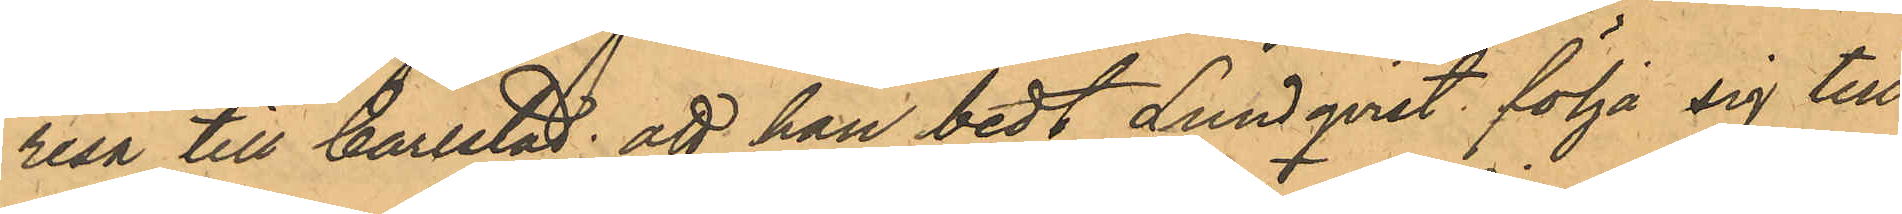resa till Carlstad; att han bedt Lundqvist följa sig till
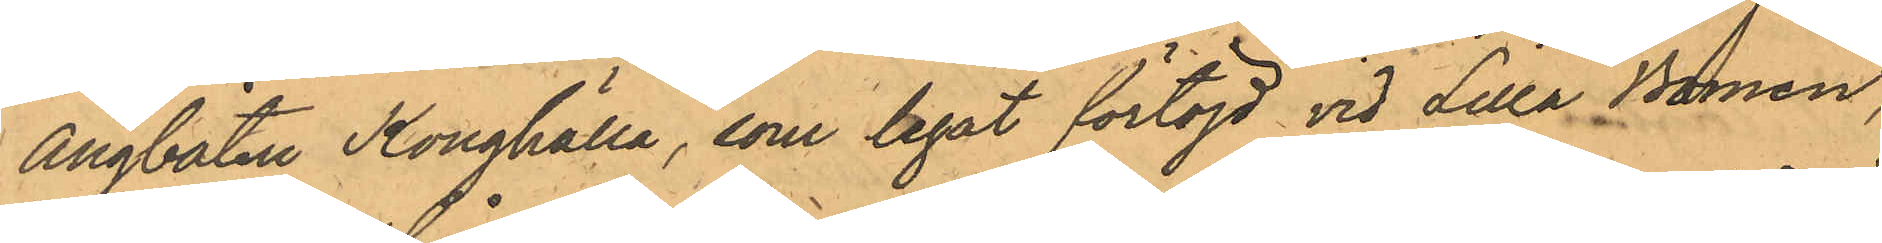Ångbåten Konghälla, som legat förtöjd vid Lilla Bommen,
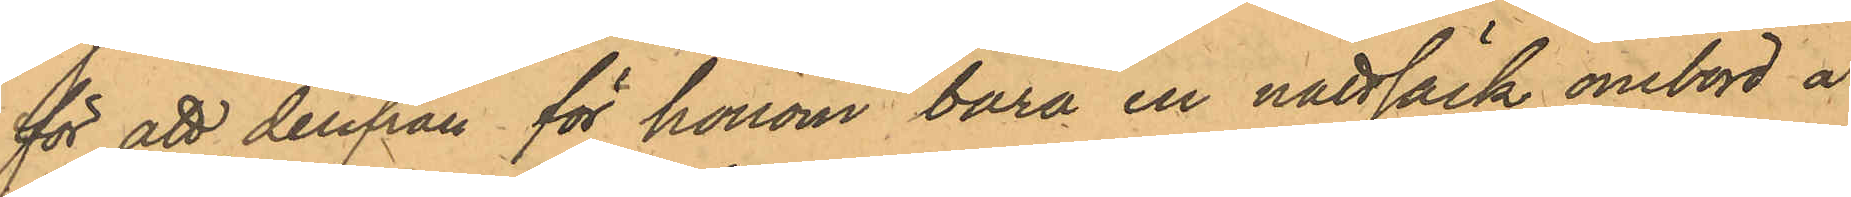för att derifrån för honom bära en nattsäck ombord å
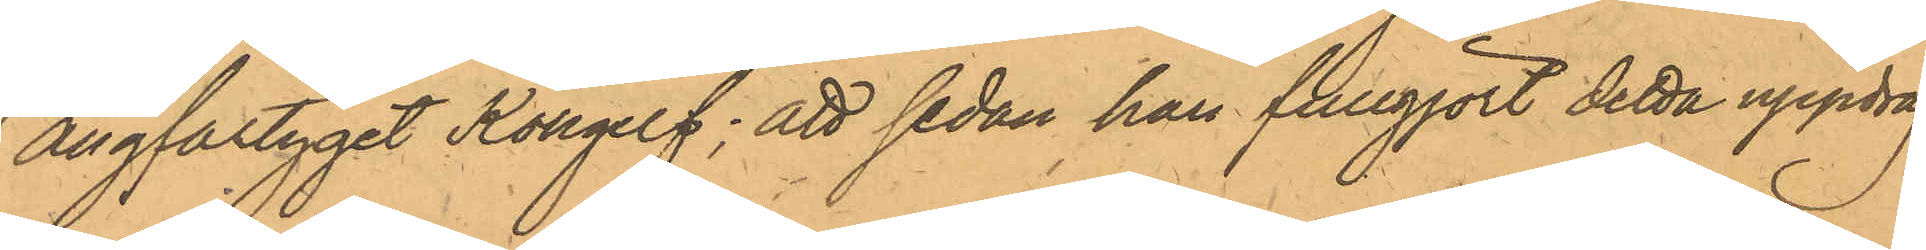Ångfartyget Kongelf; att sedan han fullgjort detta uppdrag
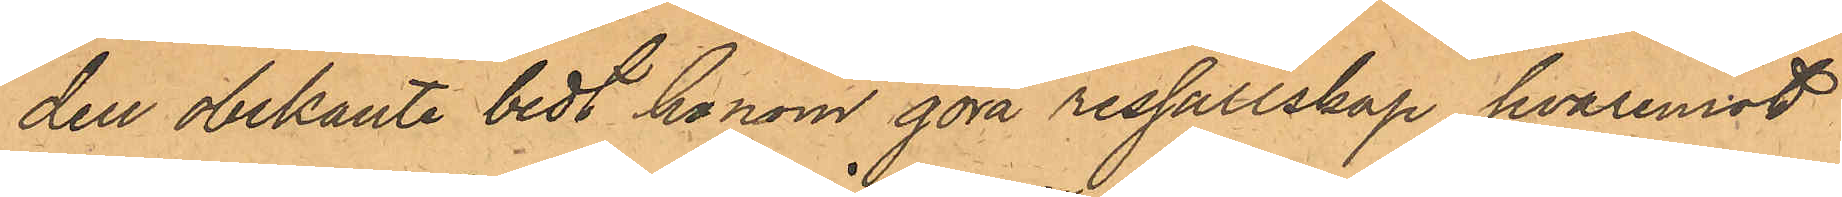den obekante bedt honom göra ressällskap, hvaremot
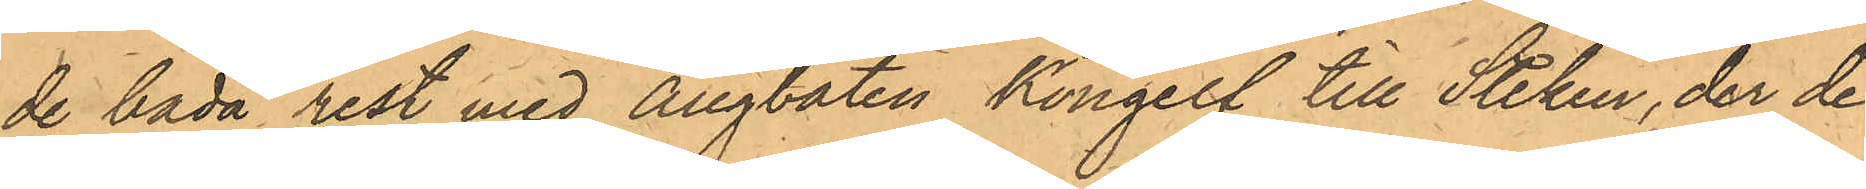de båda rest med Ångbåten Kongelf till Steken, der de
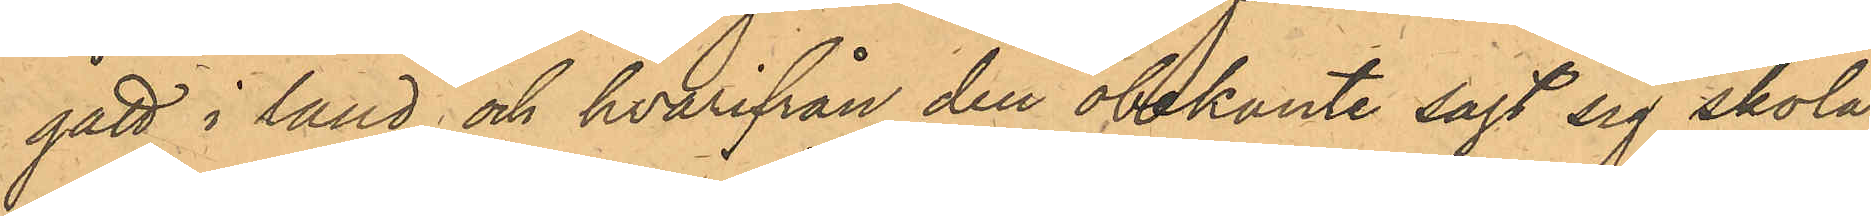gått iland och hvarifrån den obekante sagt sig skola
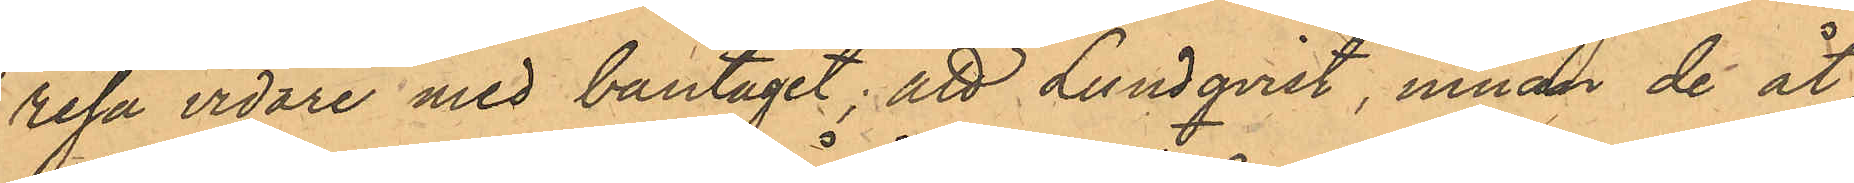resa vidare med bantåget; att Lundqvist, innan de åt¬
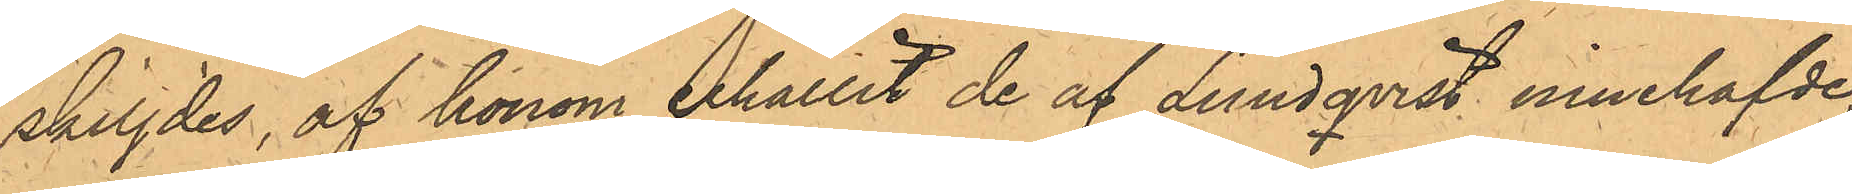skiljdes, af honom erhållit de af Lundqvist innehafvde,
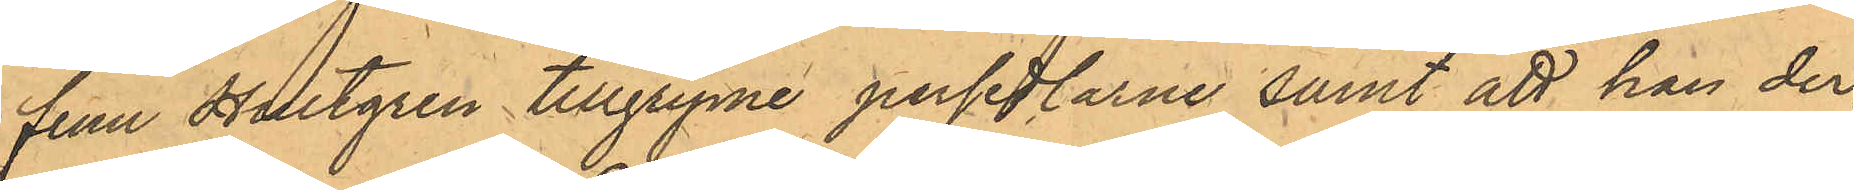från Hultgren tillgripne persedlarene samt att han der¬
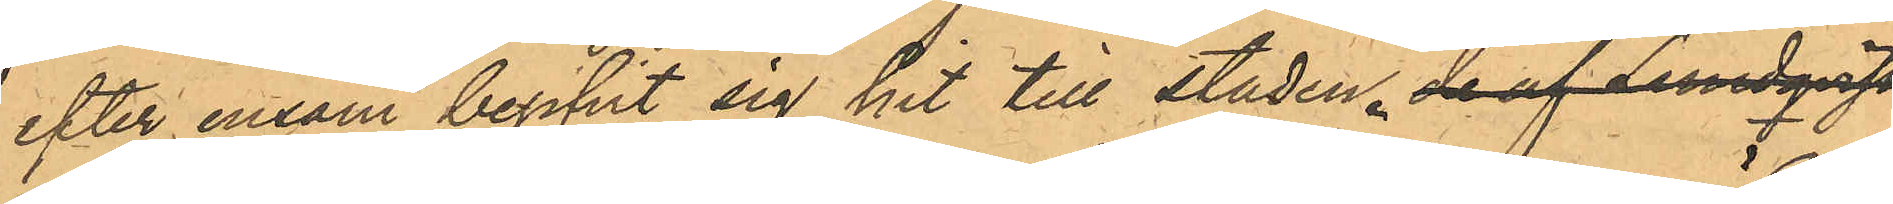efter ensam begifvit sig hit till staden. de af Lundqvist
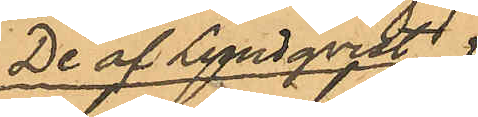De af Lundqvist
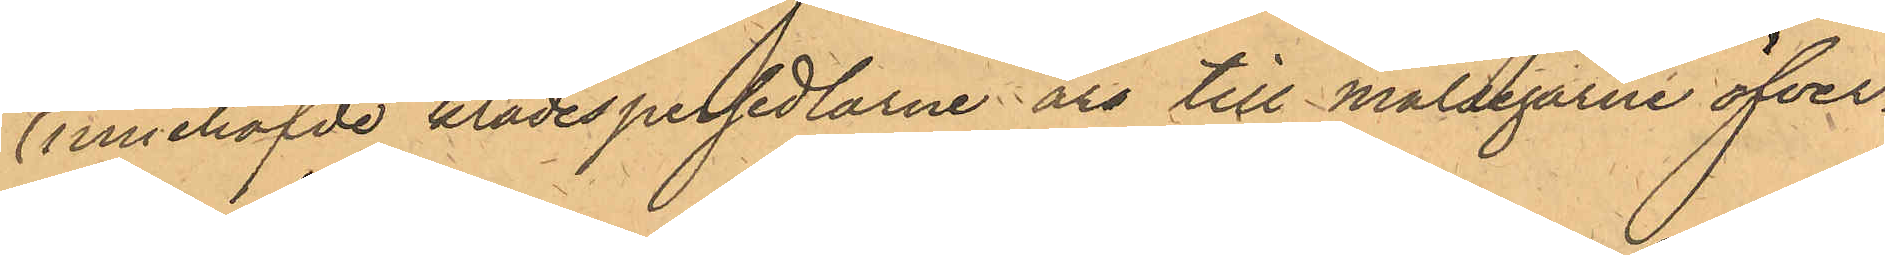innehafvde klädespersedlarne äro till målsegarne öfver¬
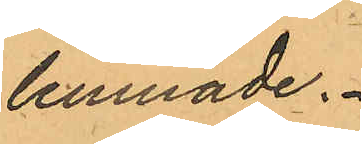lemnade.
